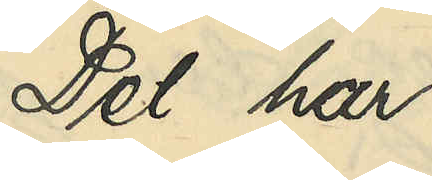Det har
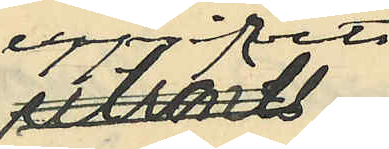uppgifvits
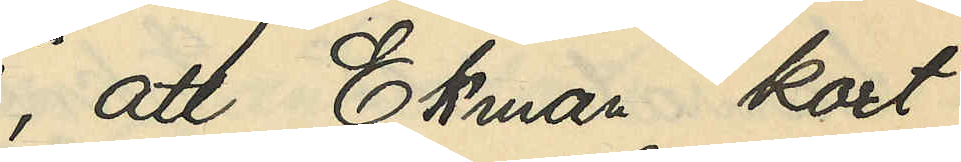att Ekman kort
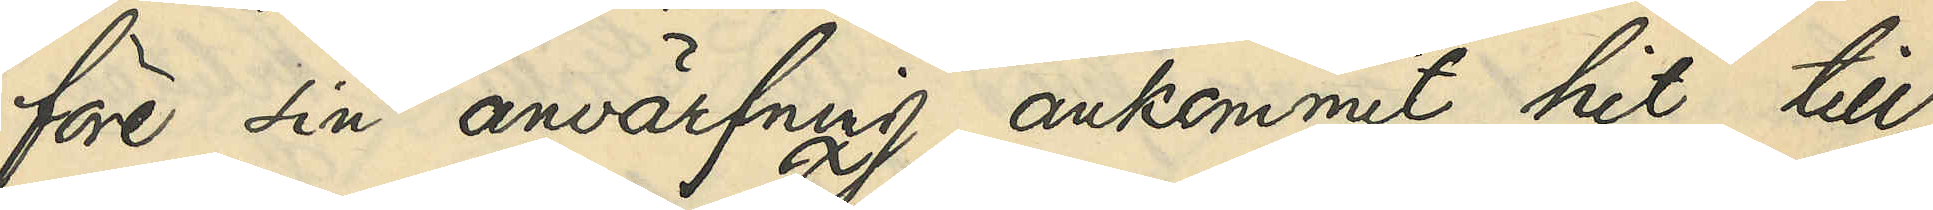före sin anvärfning ankommit hit till
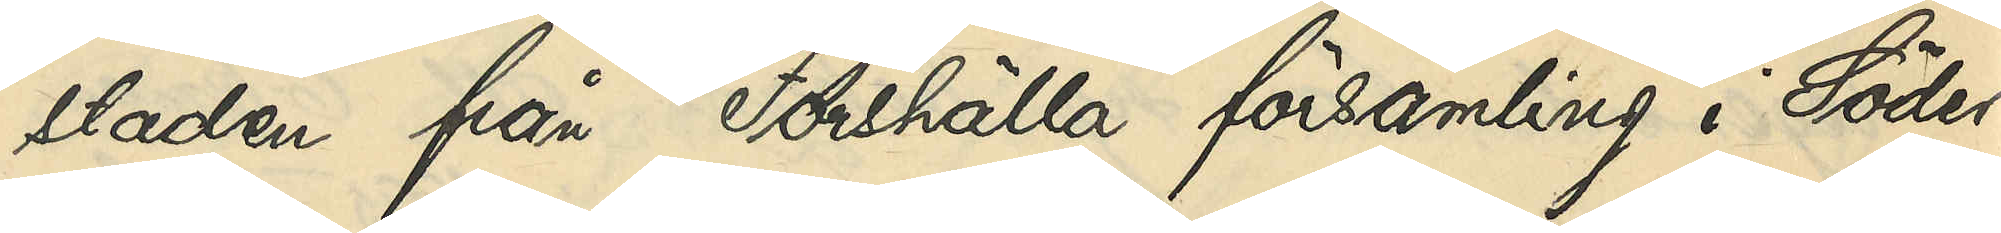staden från Forshälla församling i Söder¬
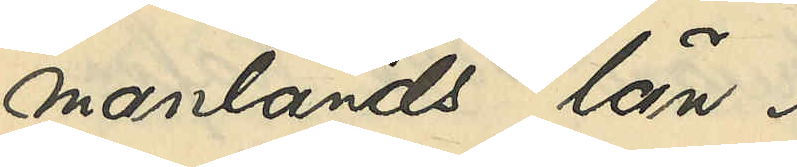manlands län.
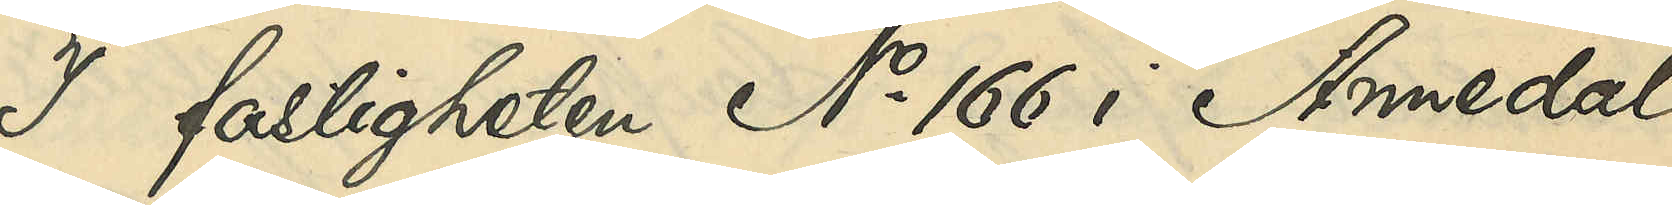I fastigheten No 166 i Annedal
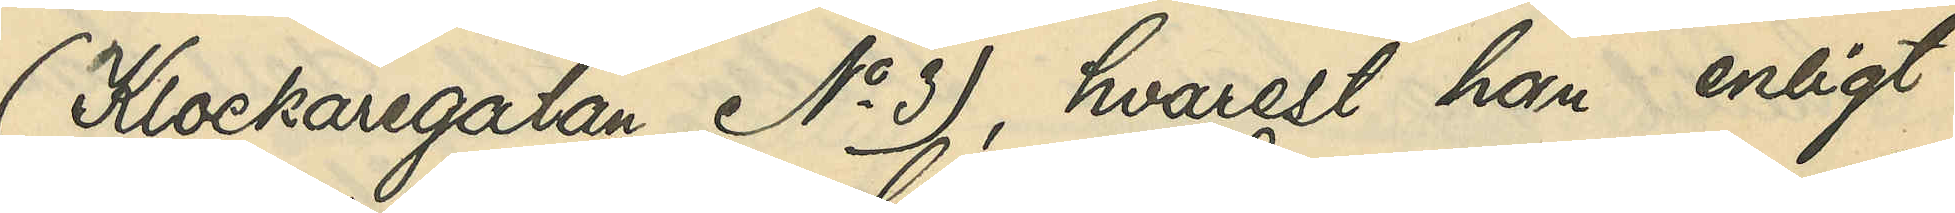(Klockaregatan No 3), hvarest han enligt
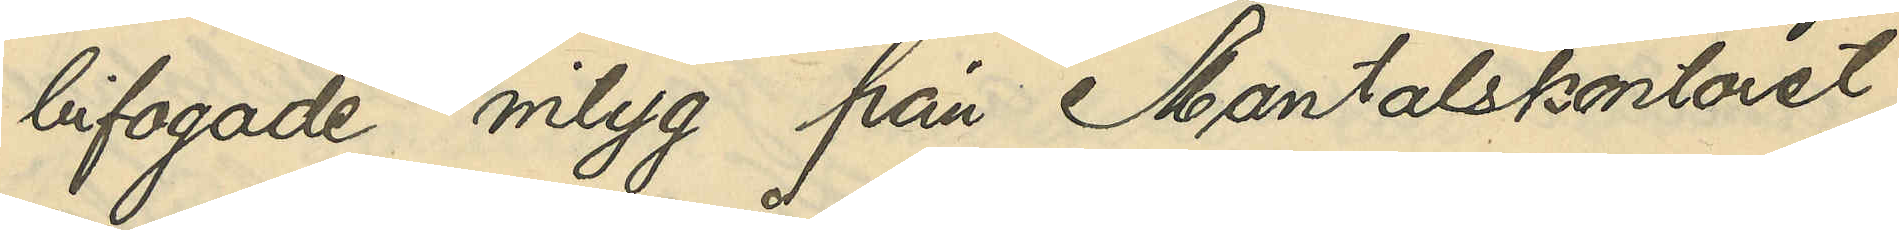bifogade intyg från Mantalskontoret
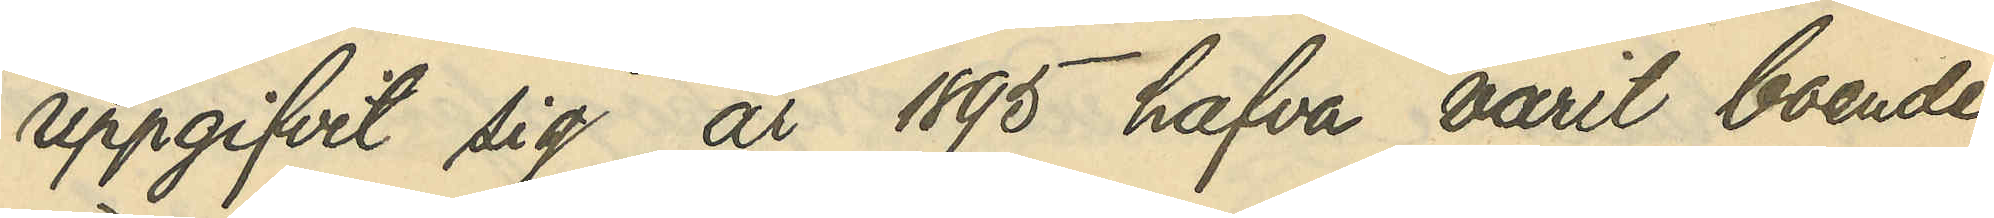uppgifvit sig år 1895 varit boende,
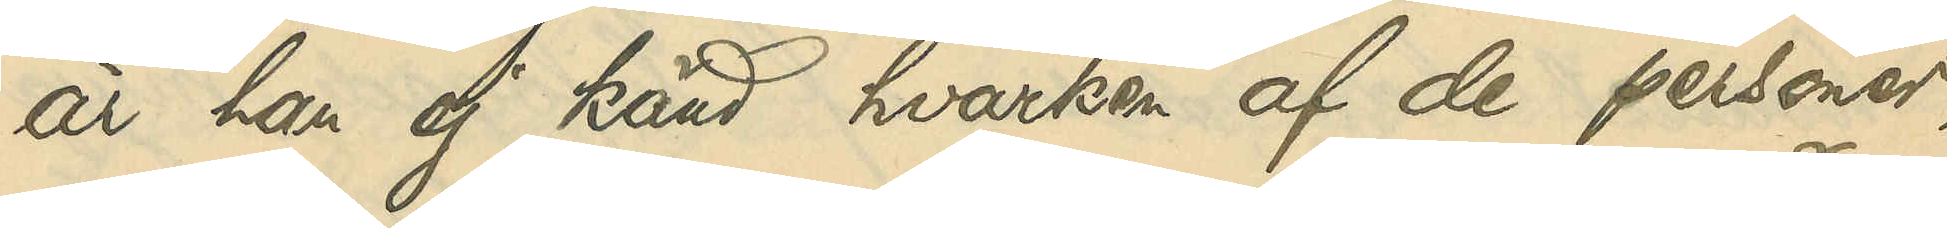är han ej känd hvarken af de personer,
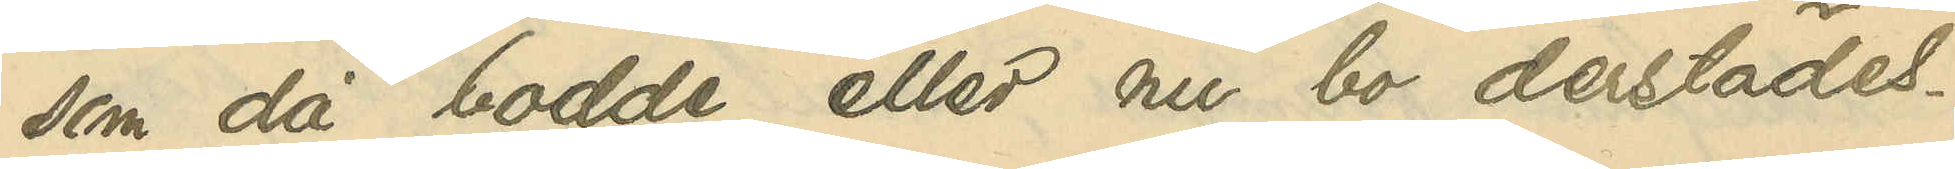som då bodde eller nu bo derstädes.
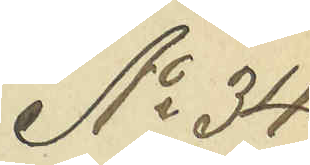No 34
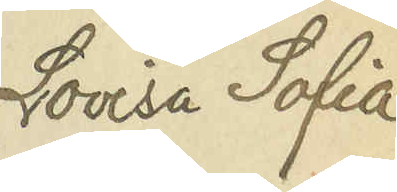Lovisa Sofia
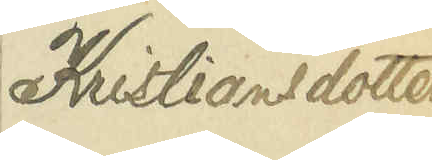Kristiansdotter
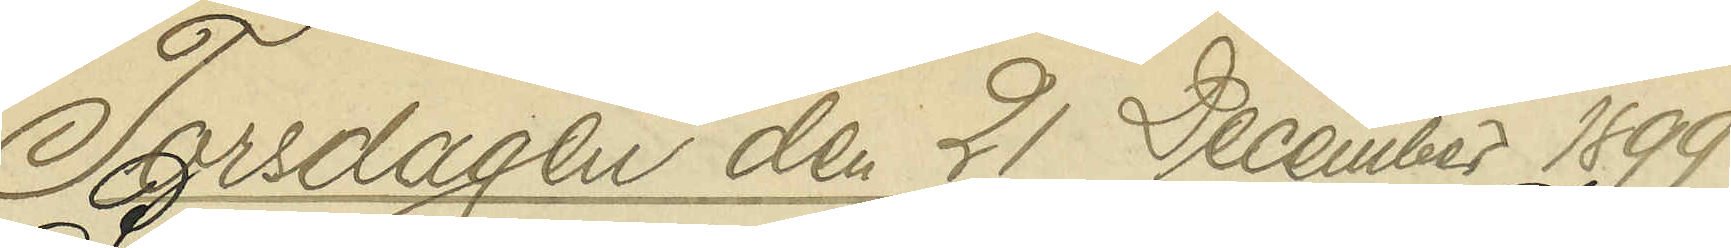Torsdagen den 21 December 1899
